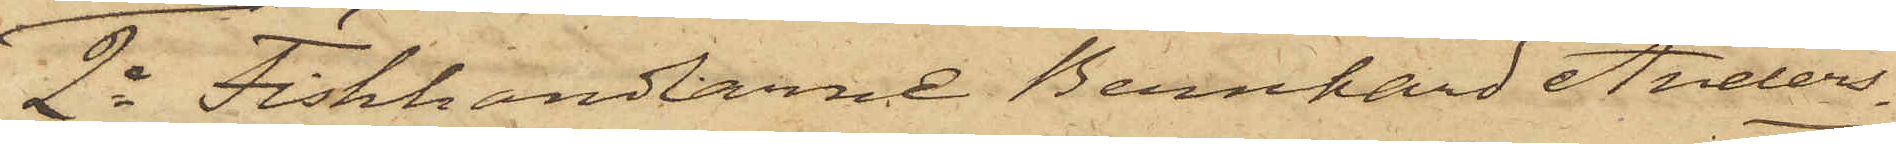2o Fiskhandlarne Bernhard Anders¬
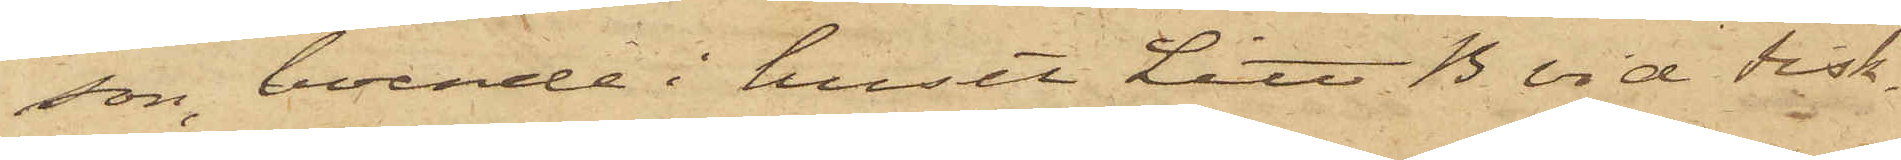son, boende i huset Litt B vid Fisk¬
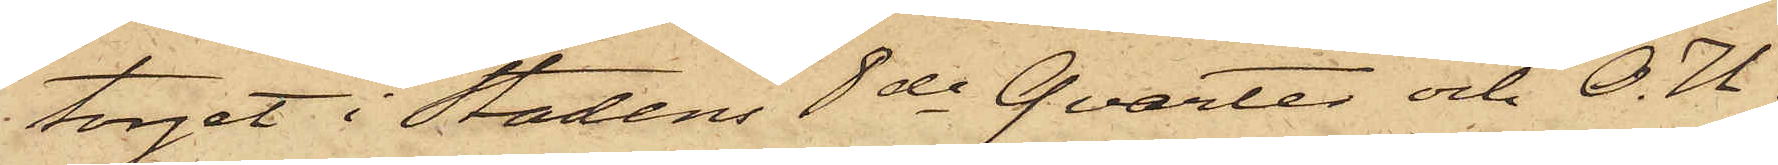torget i Stadens 8de Qvarter och O. U.
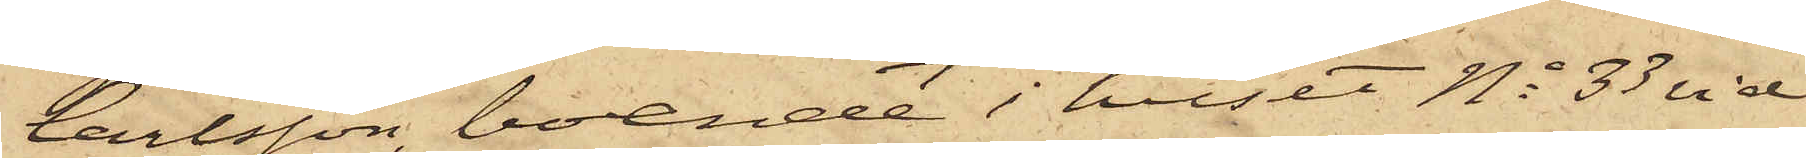Carlsson, boende i huset No 33 vid
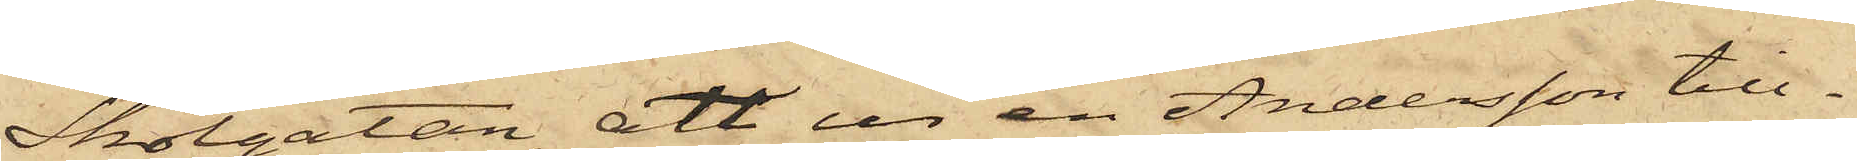Skolgatan, att ur en Andersson till¬
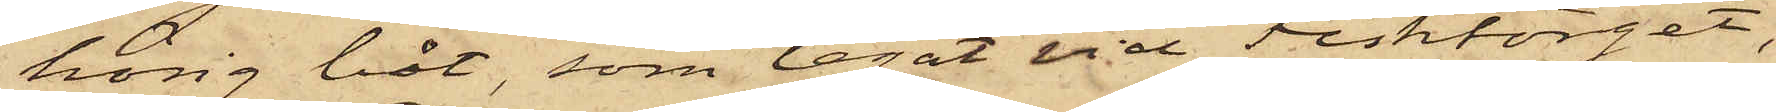hörig båt, som legat vid Fisktorget,
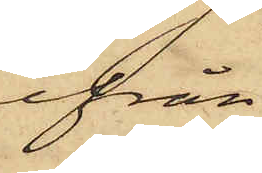ifrån
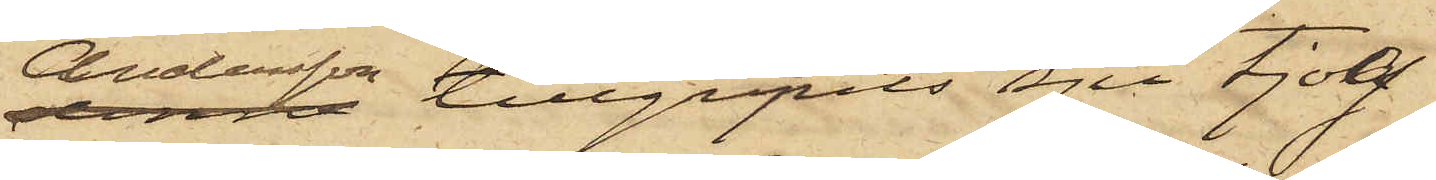Andersson tillgripits sju tjog
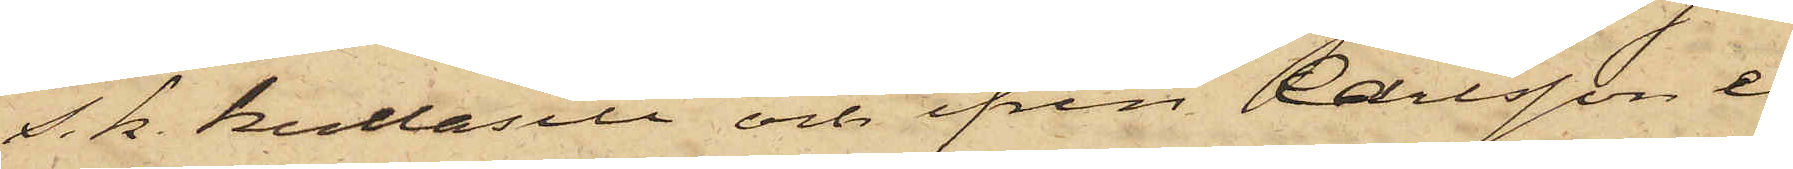s. k. kullasill och ifrån Carlsson e¬
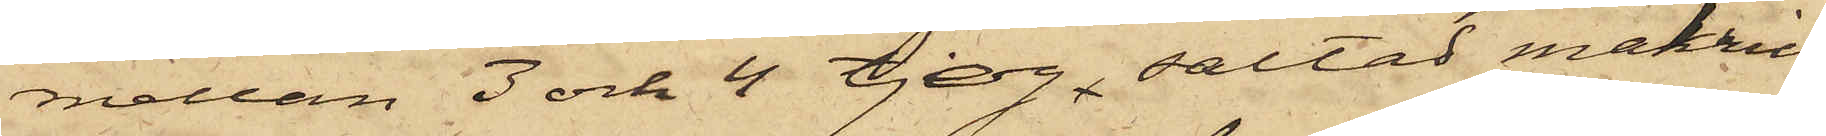mellan 3 och 4 tjog saltad makrill,
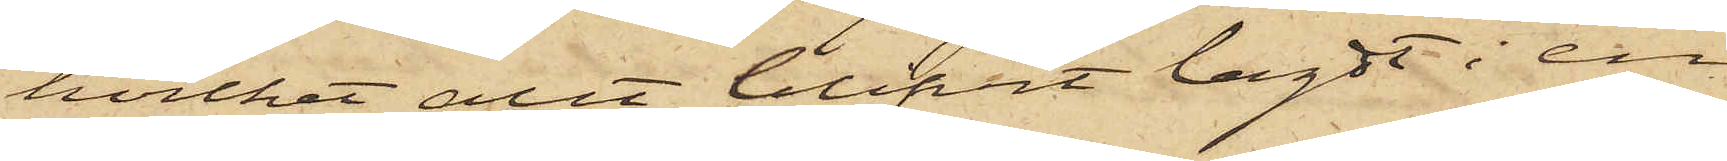hvilket allt blifvit lagdt i en
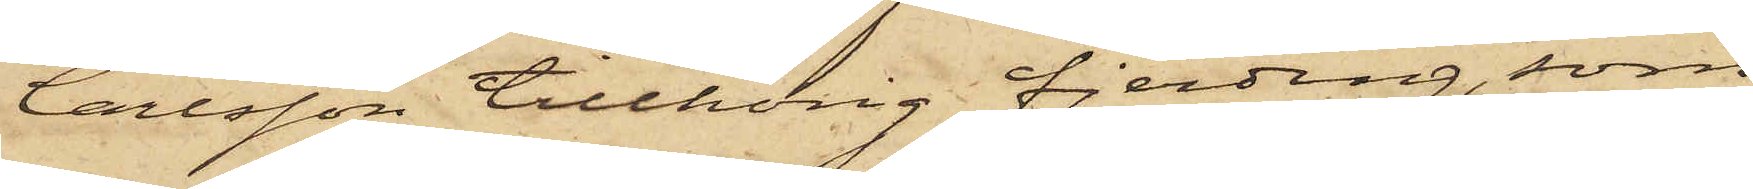Carlsson tillhörig fjerding, som
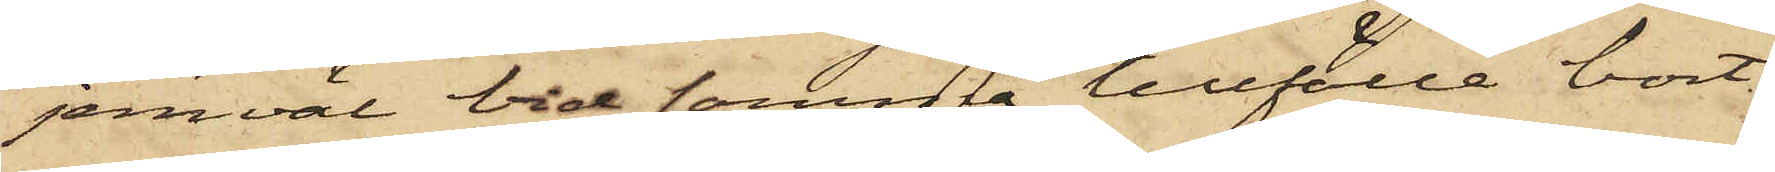jemväl vid samma tillfälle bort¬
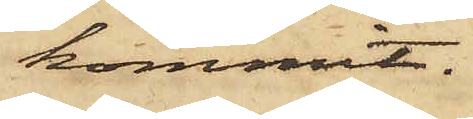kommit.
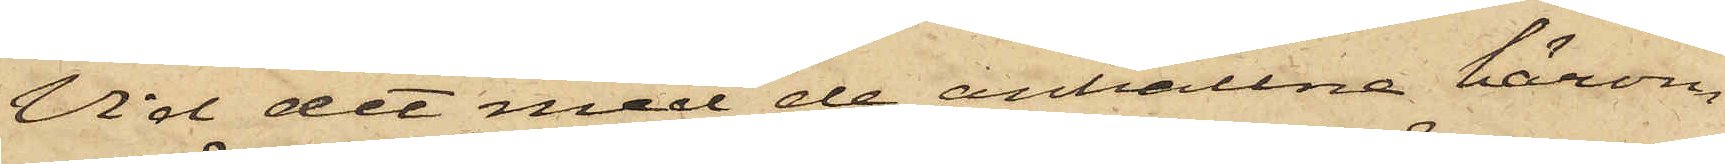Vid det med de anhållne härom
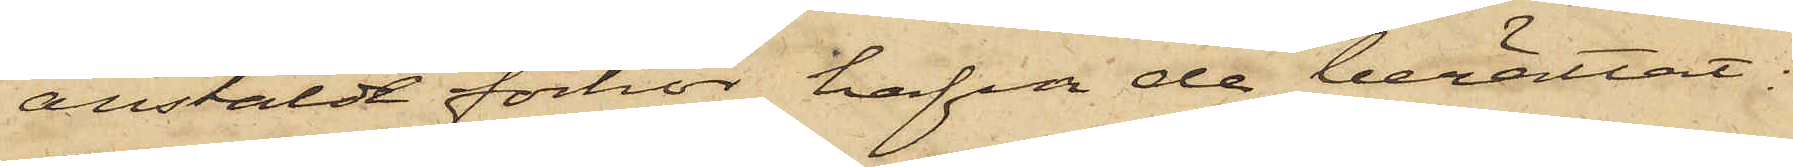anstäldt förhör hafva de berättat:
